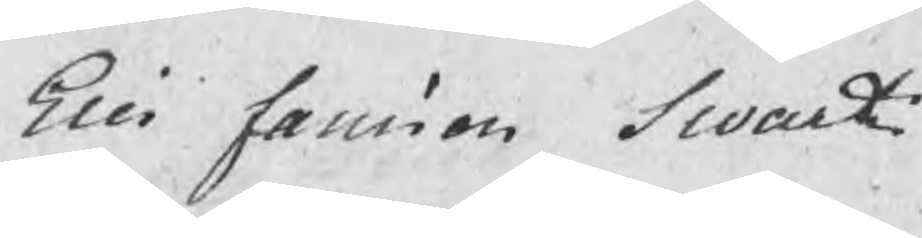Eric Jansson Swart
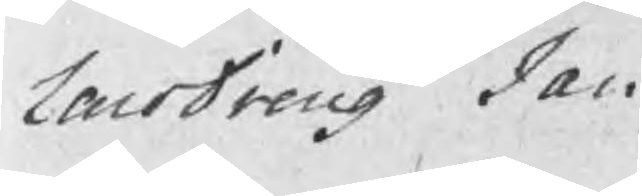LaroDreng Jan
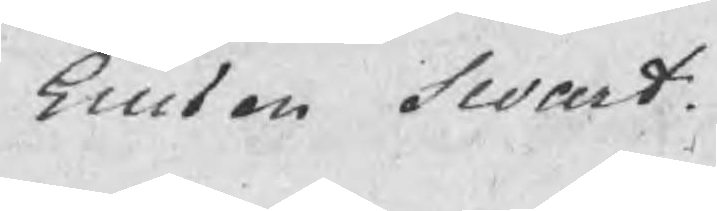Ericson Swart
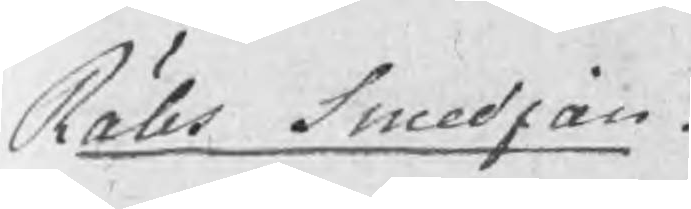Rälls smedjan.
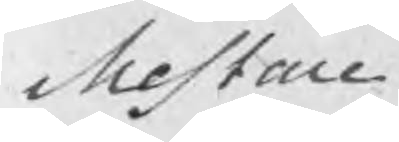Mestare
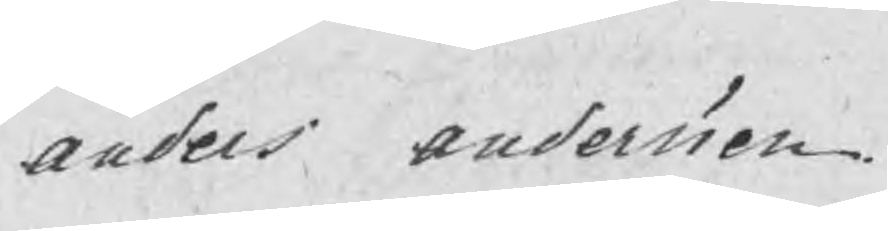Anders Andersson
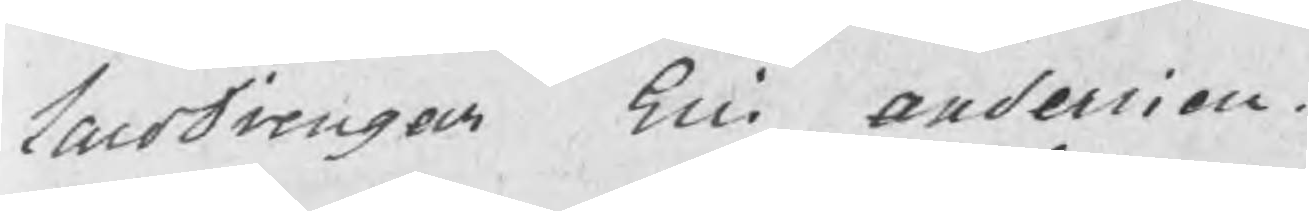LaroDrengar Eric Andersson.
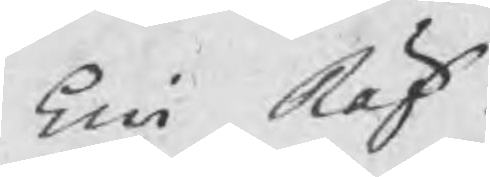Eric Räf
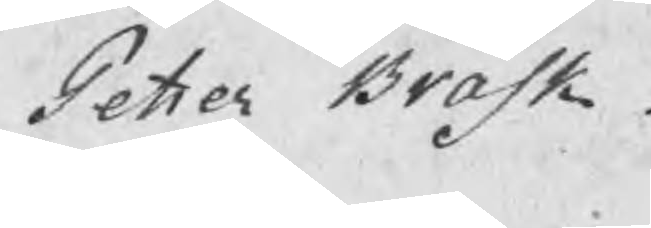Petter Bråsk
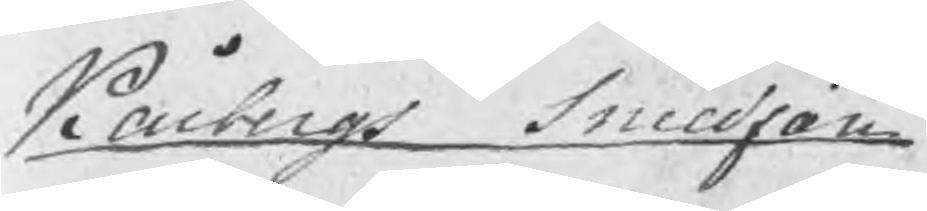Kårbergs smedjan
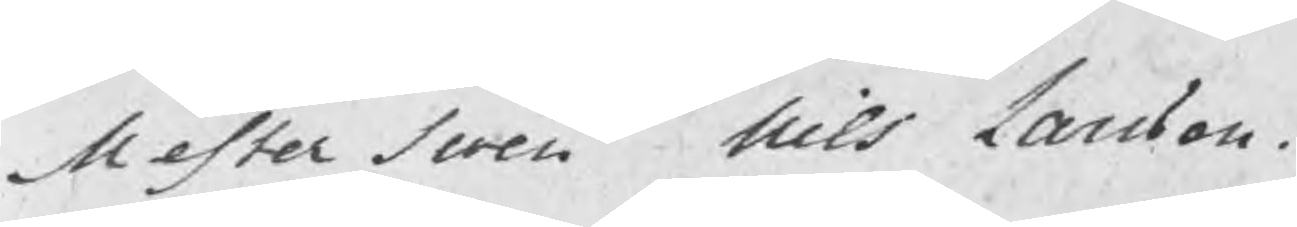Mester swen Nils Larsson.
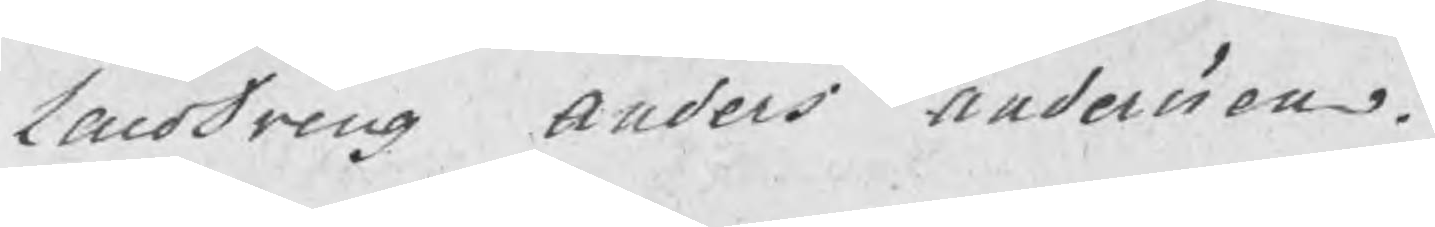LaroDreng Anders Andersson.
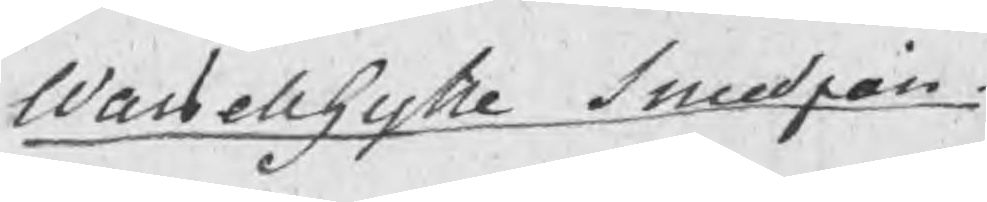Wassellhytte smedjan
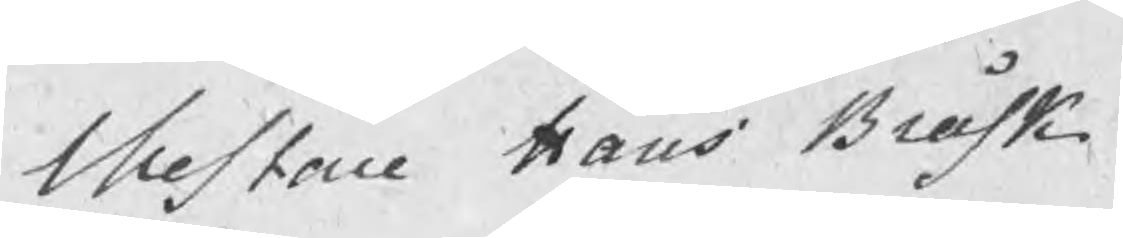Mestare Hans Bråsk
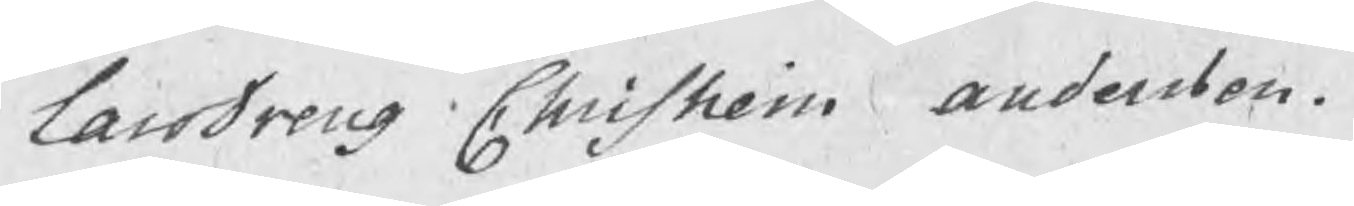Larodreng Christian Andersson.
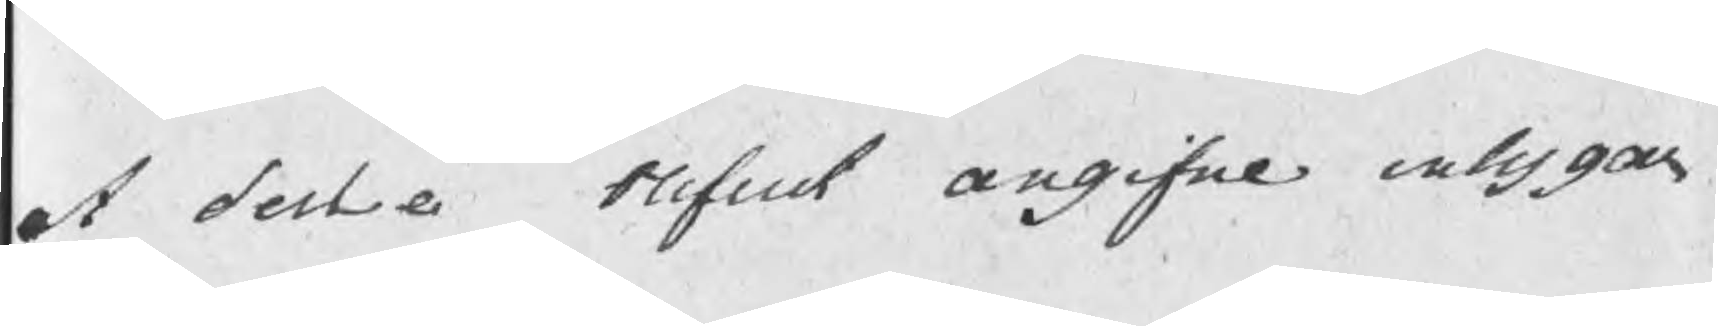at dessa blifuit angifne intygar
